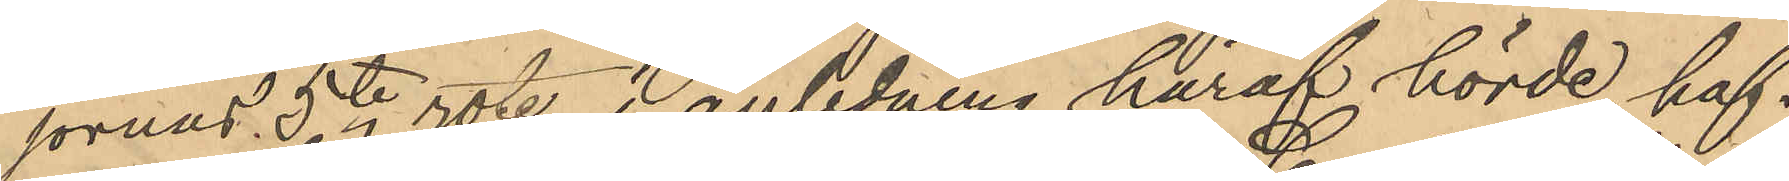jornas 5te rote, i anledning häraf hörde haf¬
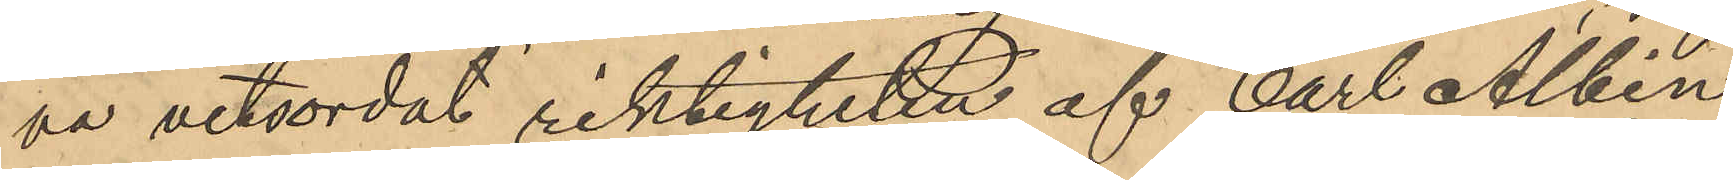va vitsordat riktigheten af Carl Albin
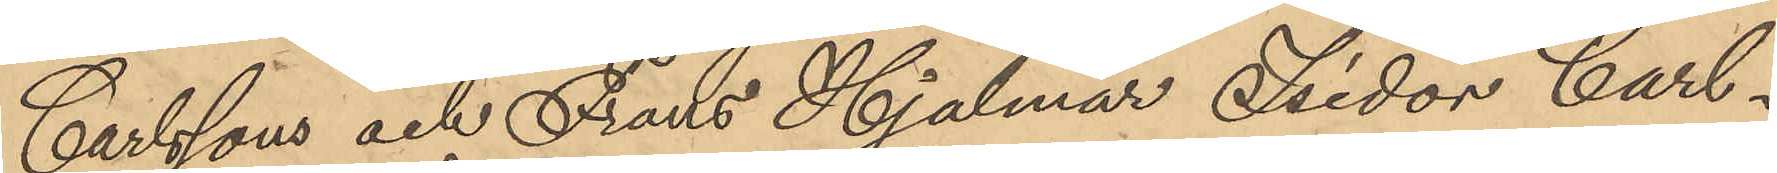Carlssons och Frans Hjalmar Isidor Carl¬
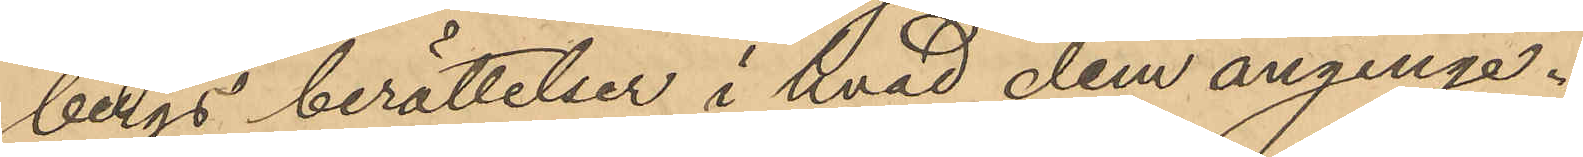bergs berättelser i hvad dem anginge.
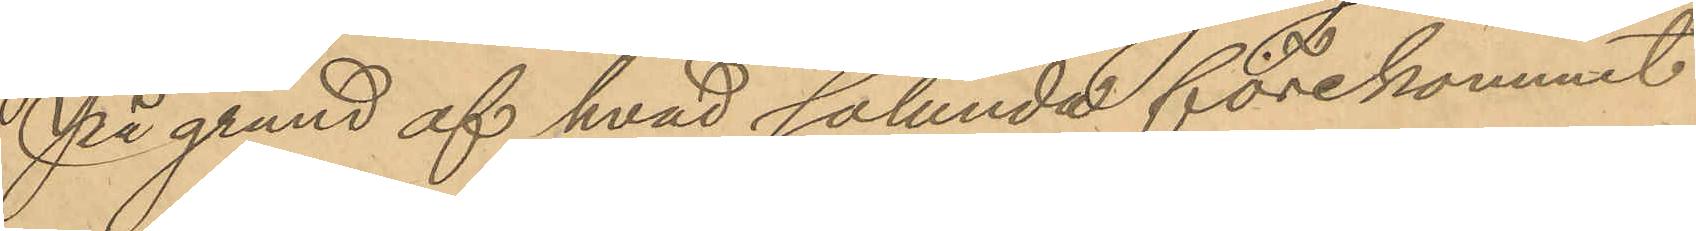På grund af hvad sålunda förekommit
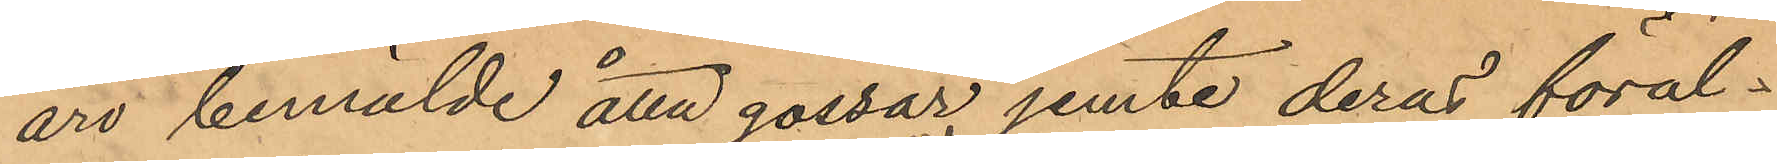äro bemälde åtta gossar jemte deras föräl¬
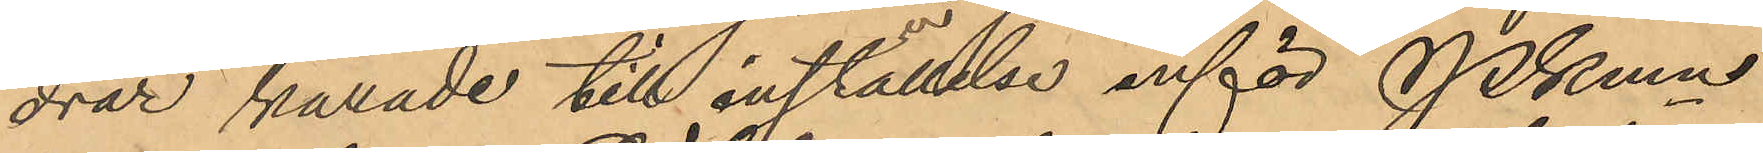drar kallade till inställelse inför Pkmn
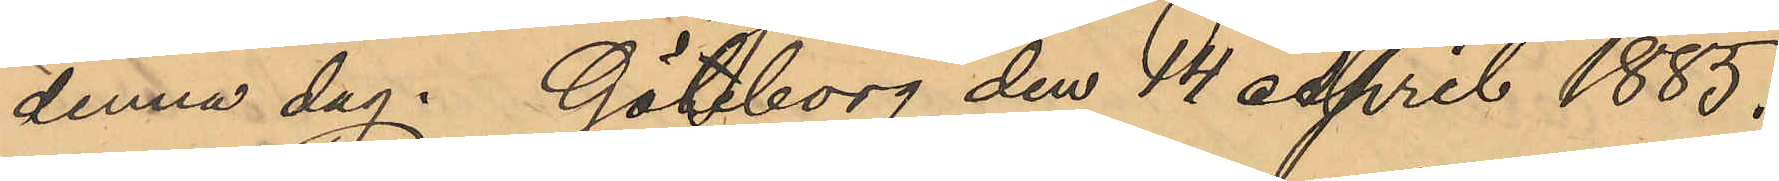denna dag. Göteborg den 14 April 1885.
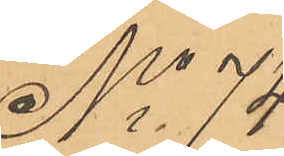No 74
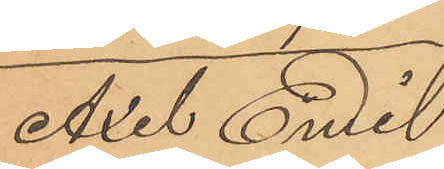Axel Emil
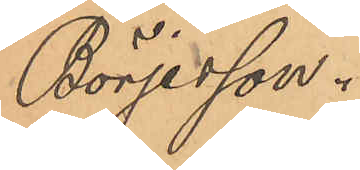Börjesson.
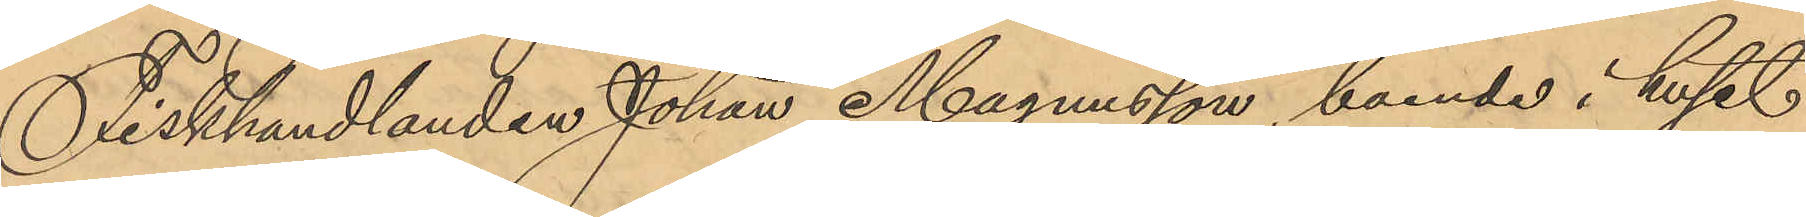Fiskhandlanden Johan Magnusson, boende i huset
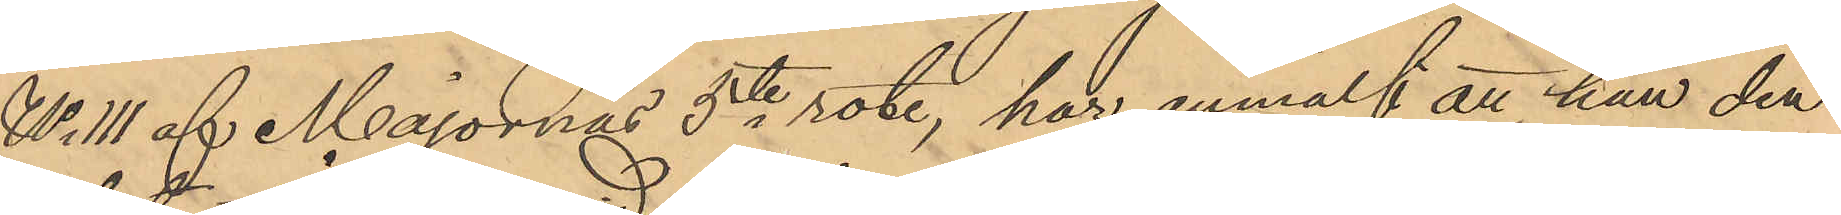No 111 af Majornas 5te rote, har anmält att han den
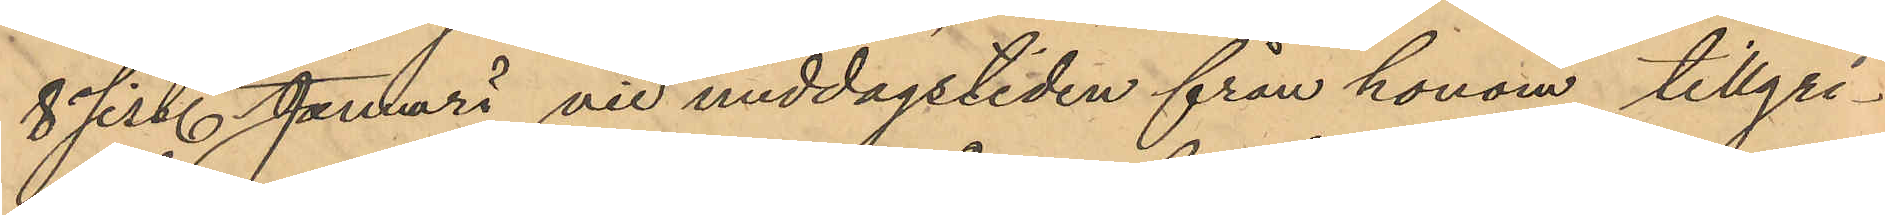8 sist. Januari vid middagstiden från honom tillgri¬
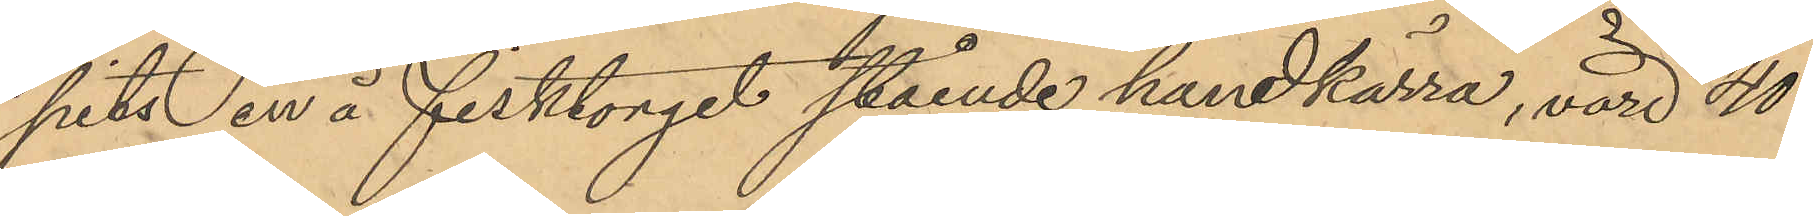pits en å Fisktorget stående handkärra, värd 40
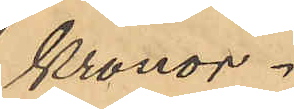Kronor.
